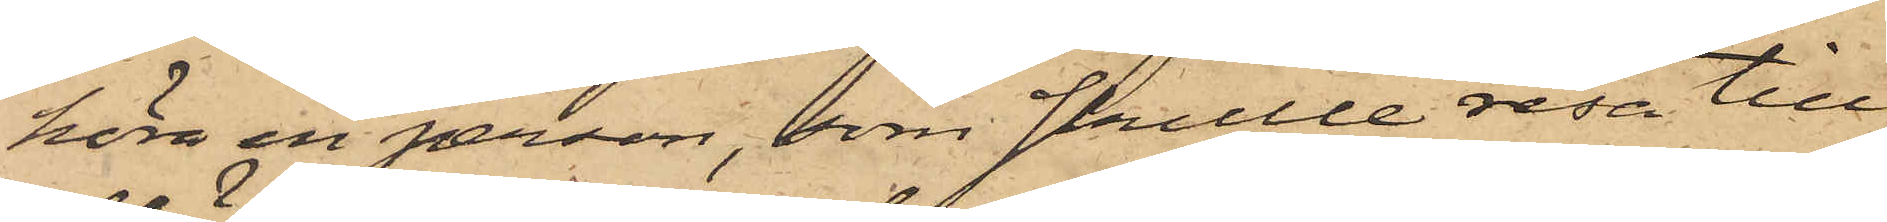höra en person, som skulle resa till
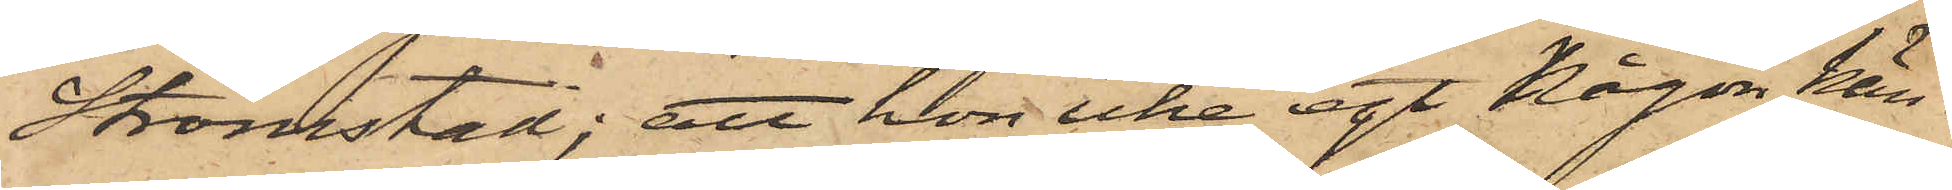Strömstad; att hon icke egt någon kän¬
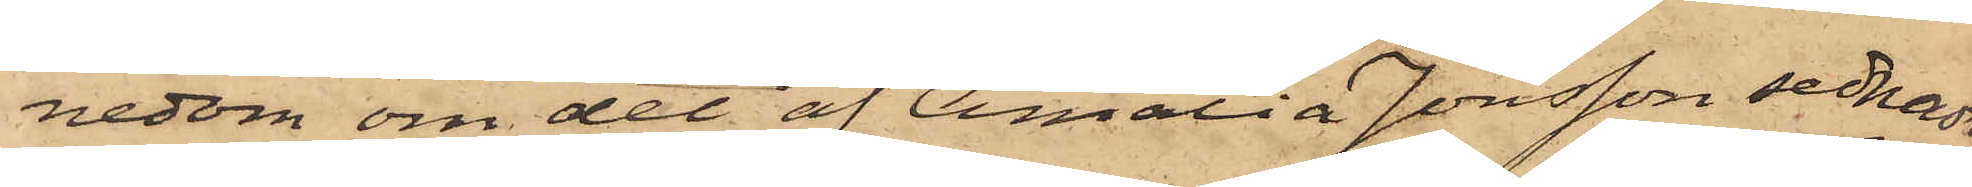nedom om det af Amalia Jonsson sednast
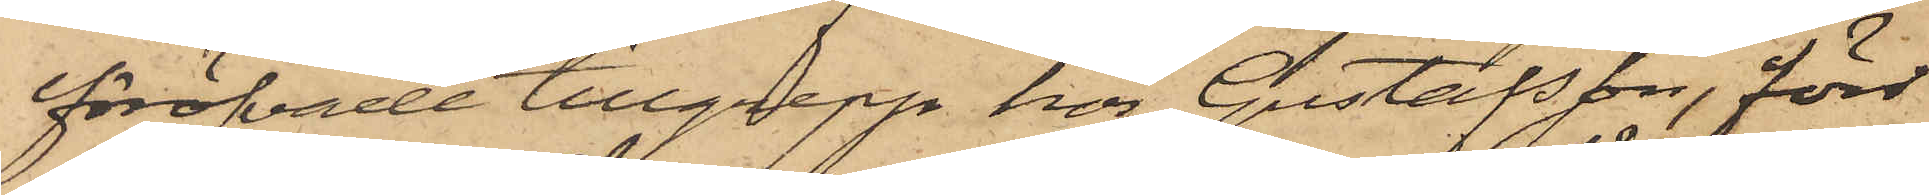föröfvade tillgrepp hos Gustafsson, förr¬
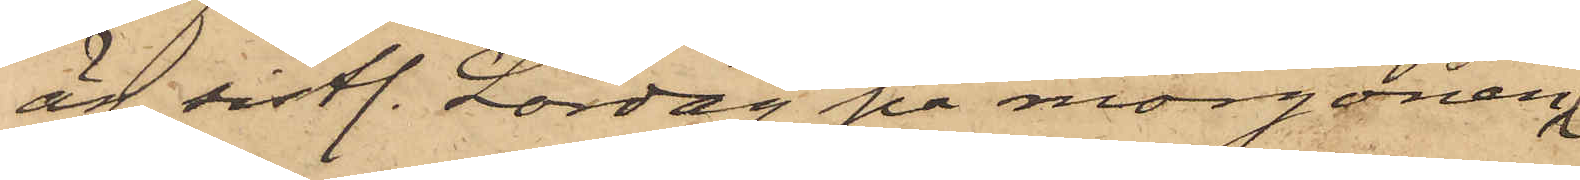än sistl. Lördag på morgonen,
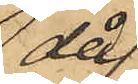då
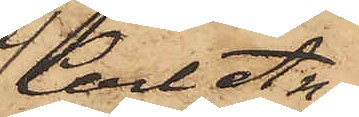Carl An¬
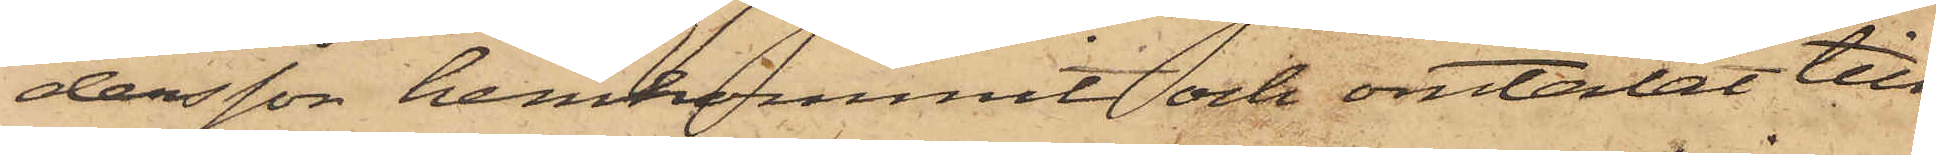dersson hemkommit och omtalat till¬
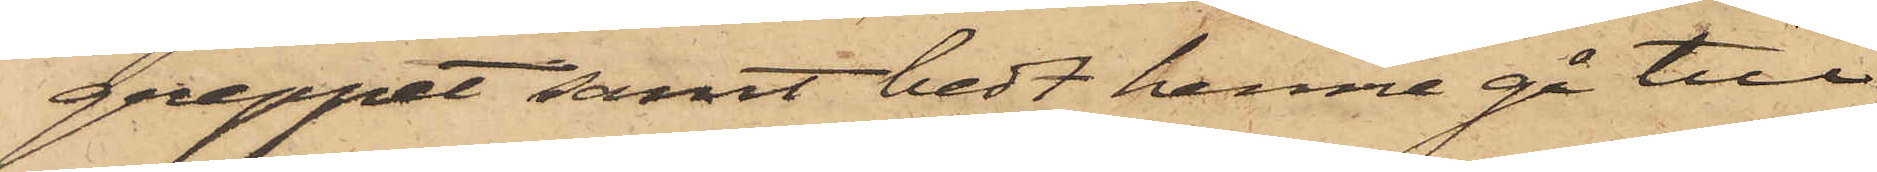greppet samt bedt henne gå till
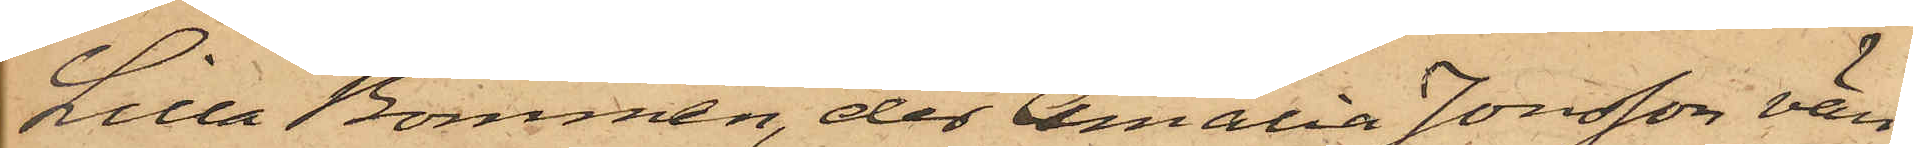Lilla Bommen, der Amalia Jonsson vän¬
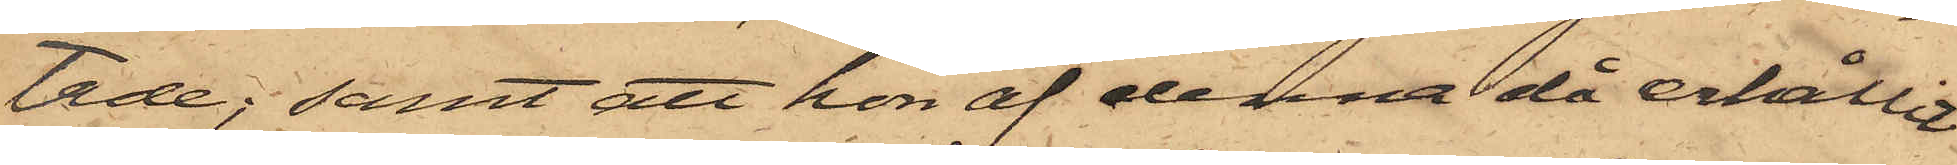tade; samt att hon af denna då erhållit
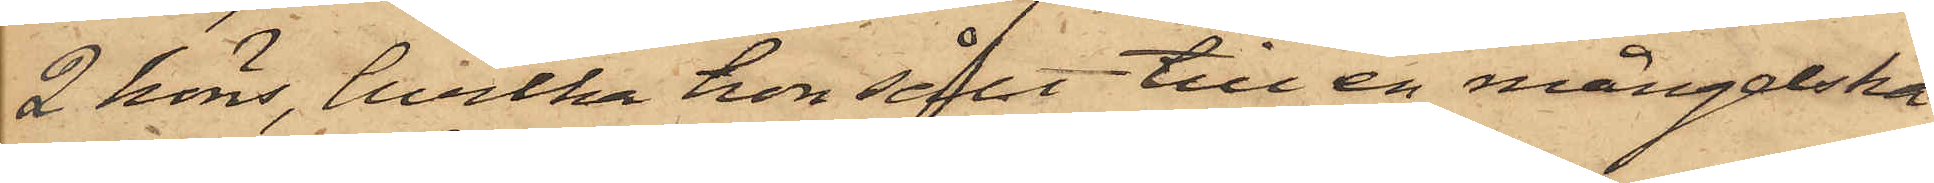2 höns, hvilka hon sålt till en mångelska
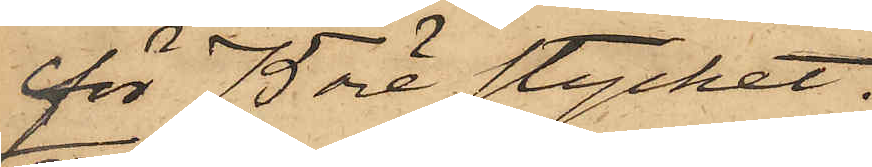för 75 öre stycket;
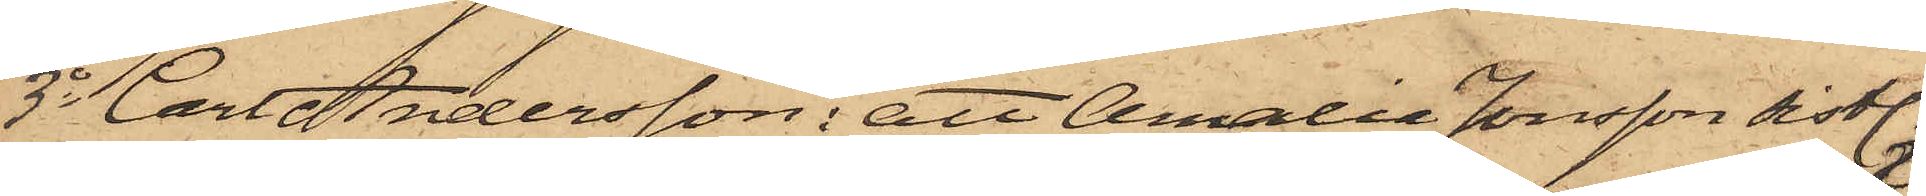3o Carl Andersson: att Amalia Jonsson sistl.
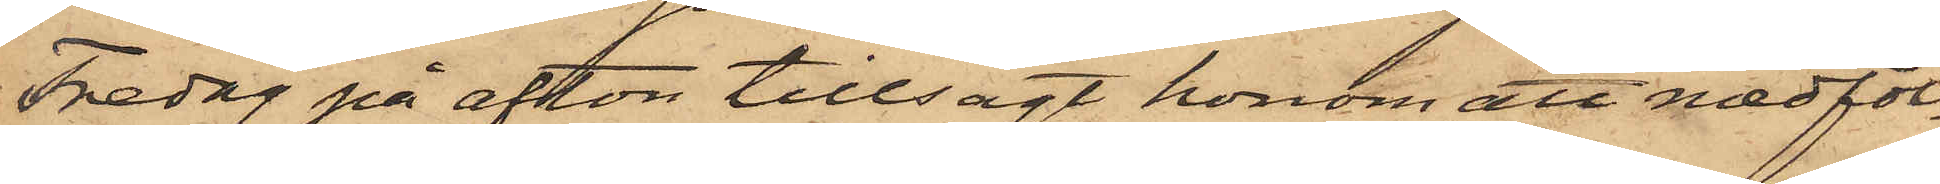Fredag på afton tillsagt honom att medföl¬
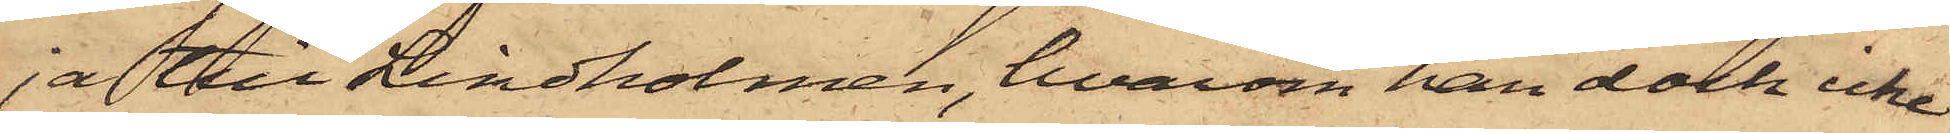ja till Lindholmen, hvarom han dock icke
